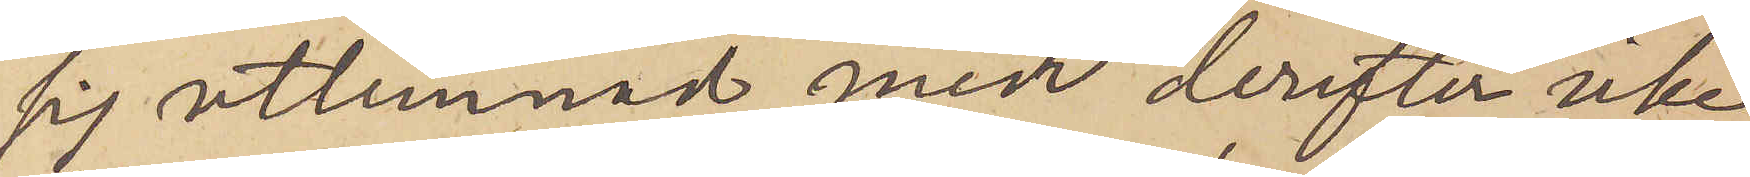sej utlemnad men derefter icke
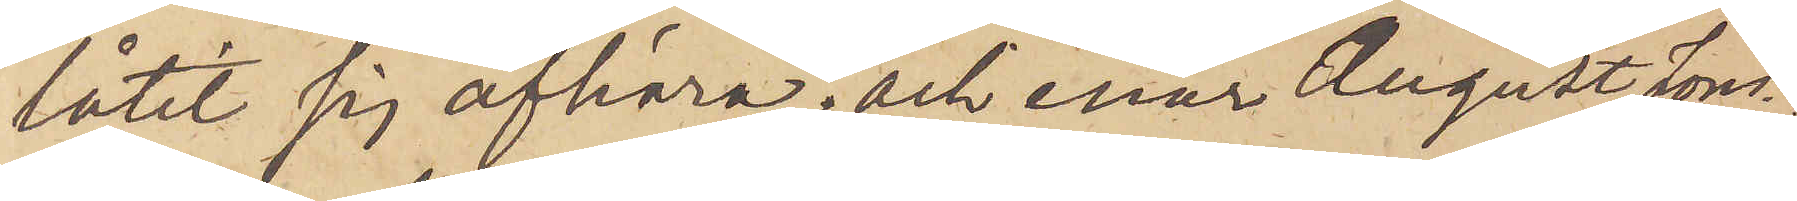låtit sig afhöra; och enär August Jons¬
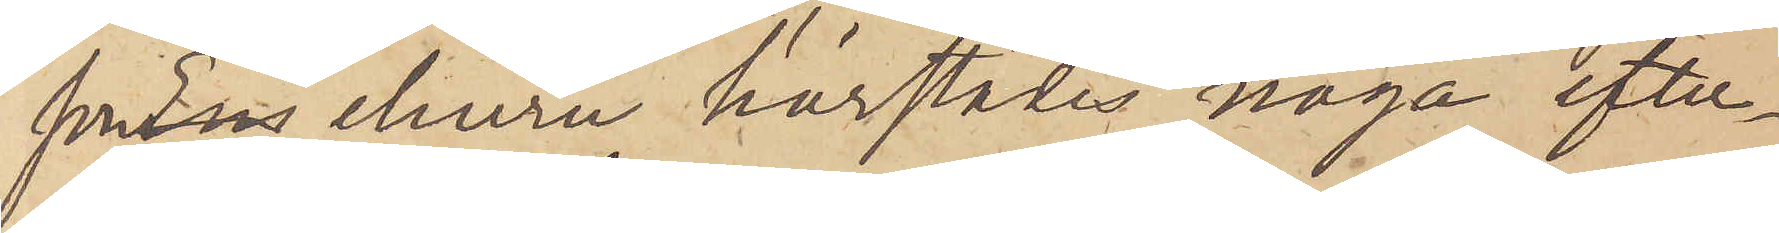sonns ehuru härstädes noga efter¬
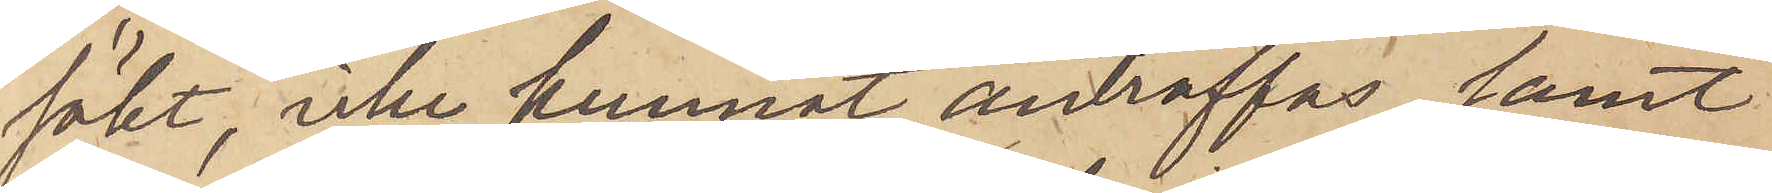sökt, icke kunnat anträffas samt
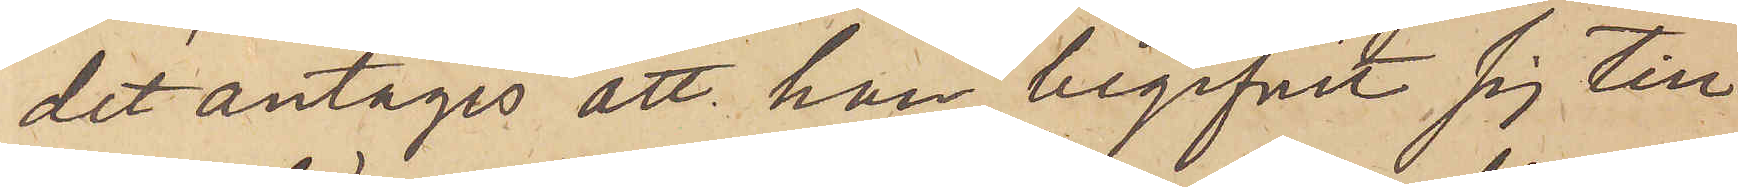det antages att han begifvit sig till
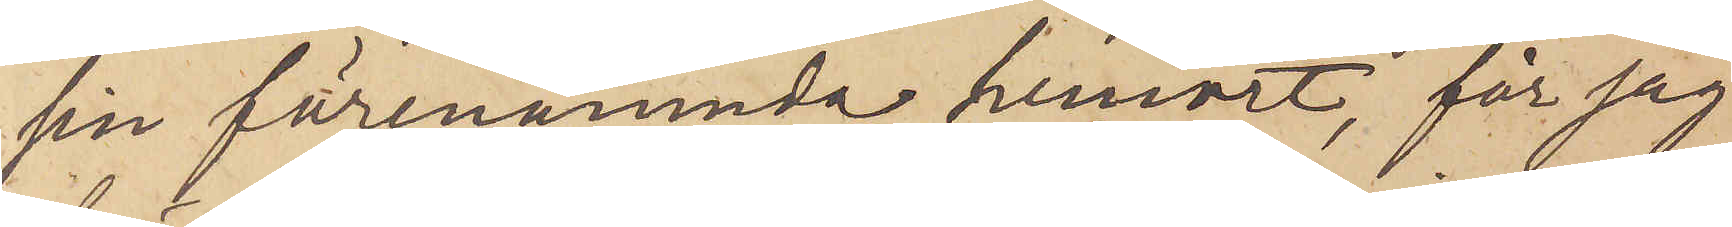sin förenämnda hemort, får jag
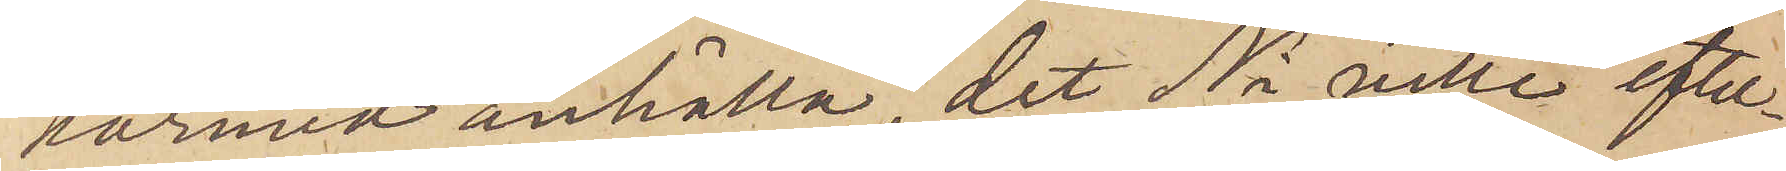härmed anhålla, det Ni ville efter¬
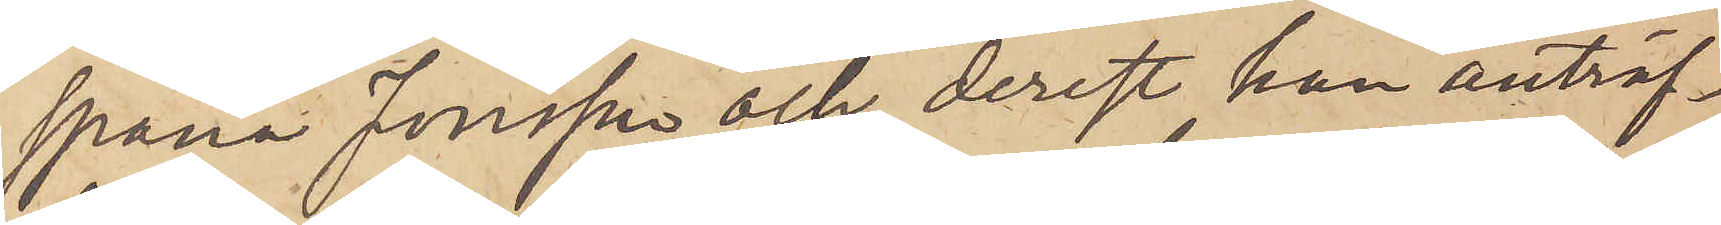spana Jonsson och, derest han anträf¬
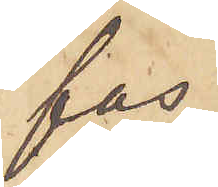fas,
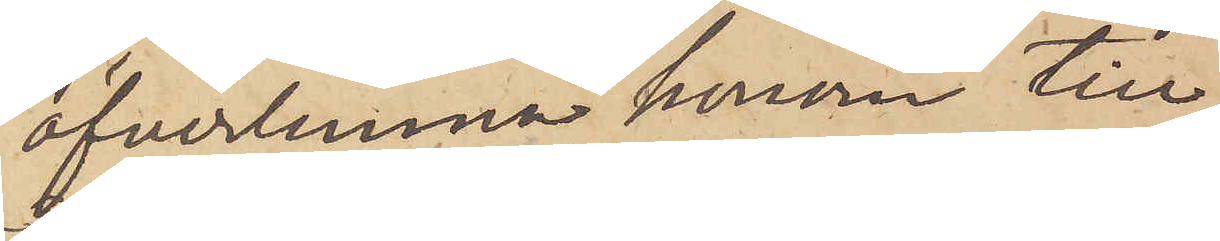öfverlemna honom till
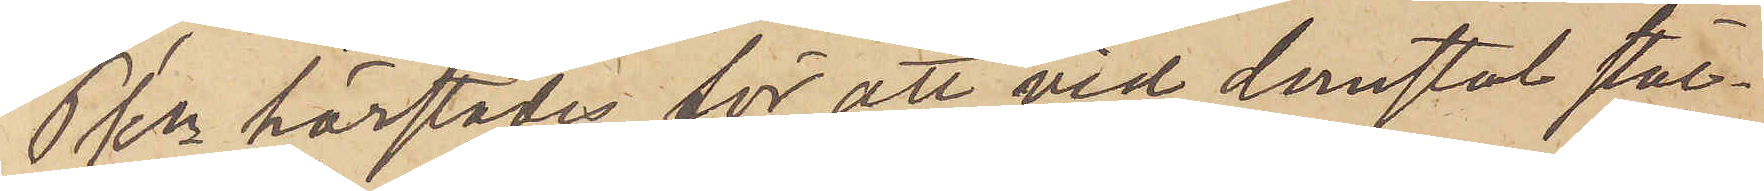Pkn härstädes för att vid domstol stäl¬
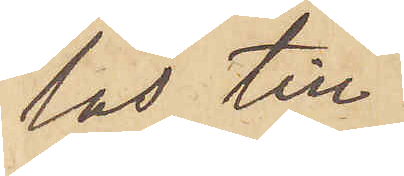las till
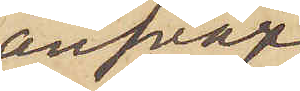ansvar
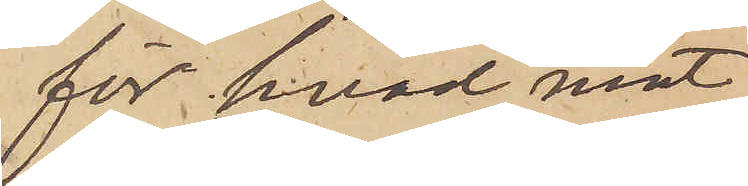för hvad mot
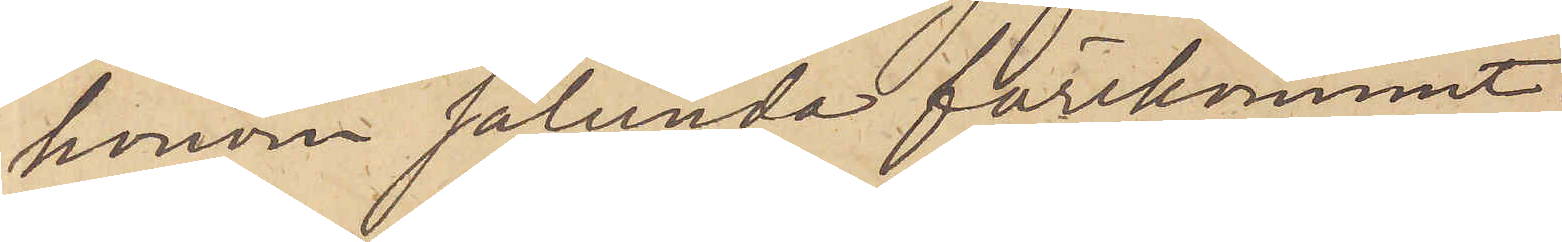honom sålunda förekommit.
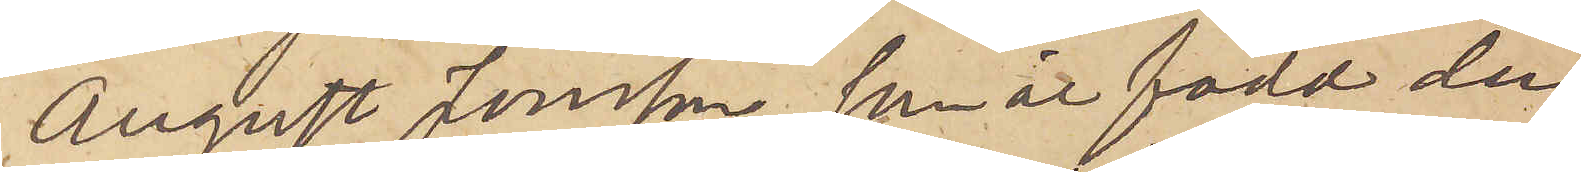August Jonsson, som är född den
